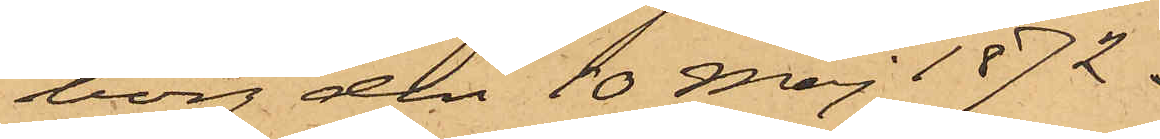borg den 10 Maj 1872.
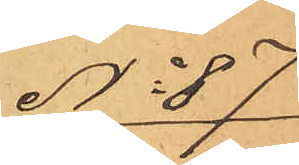No 87
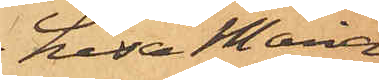Lisa Maria
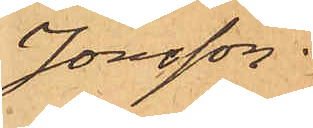Jonsson.
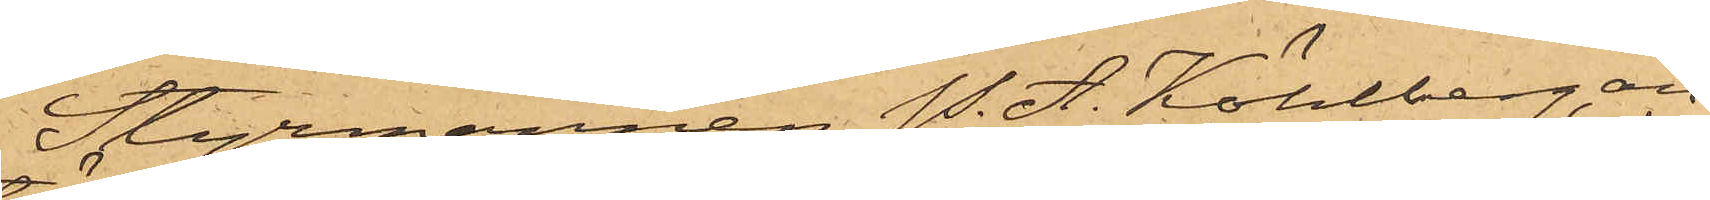Styrmannen P. A. Köhlberg, an¬
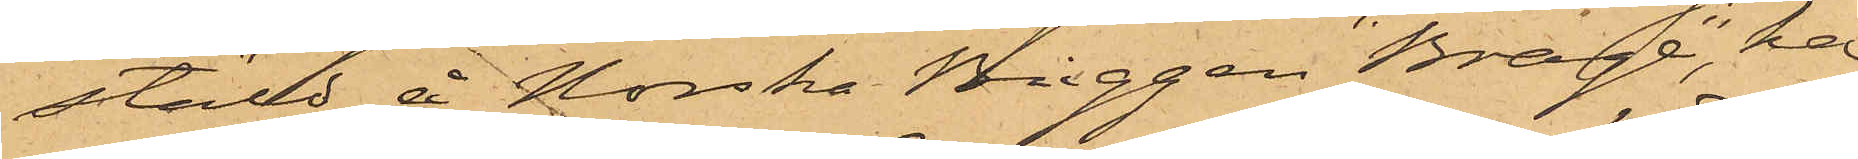stäld å Norska Briggen "Brage", har
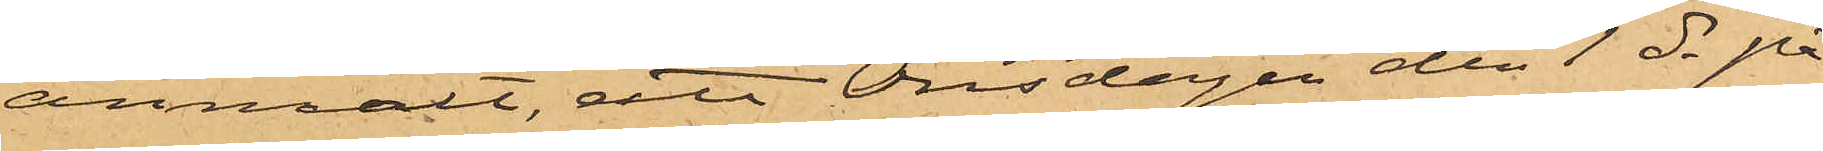anmält, att Onsdagen den 1 ds på
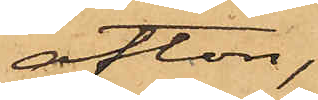afton,
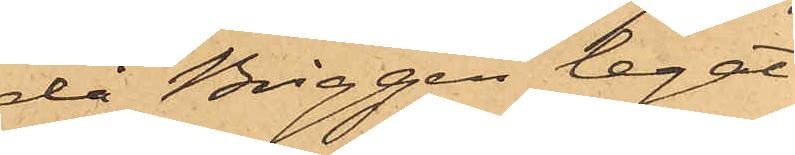då Briggen legat
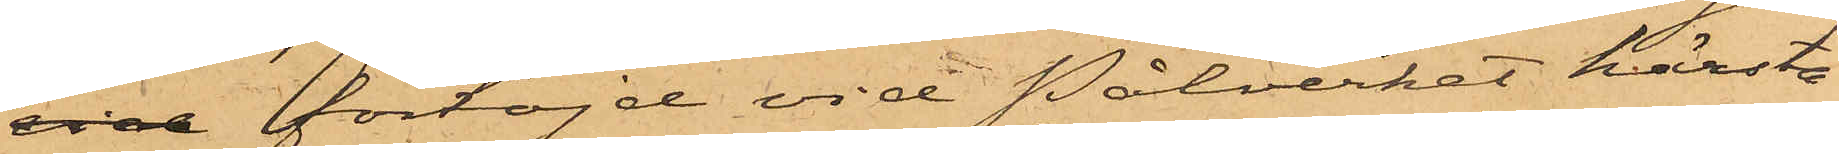vid förtöjd vid Pålverket härstä¬
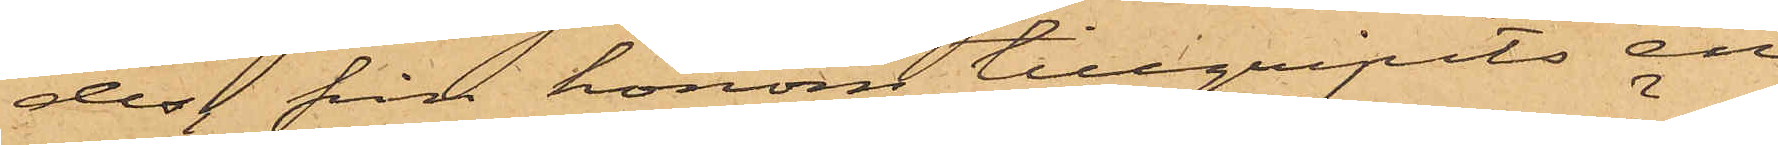des från honom tillgripits en
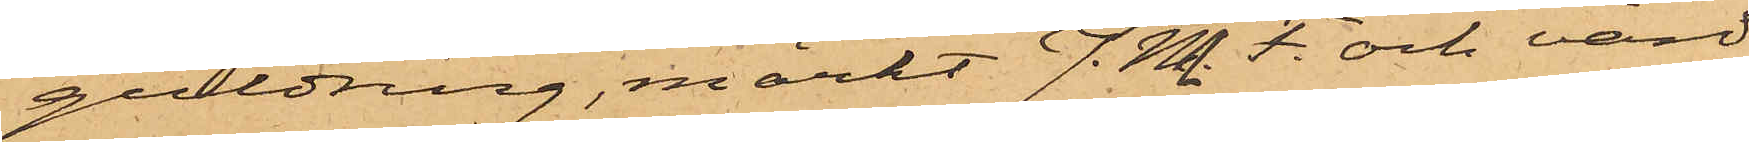guldring, märkt J. M. F. och värd
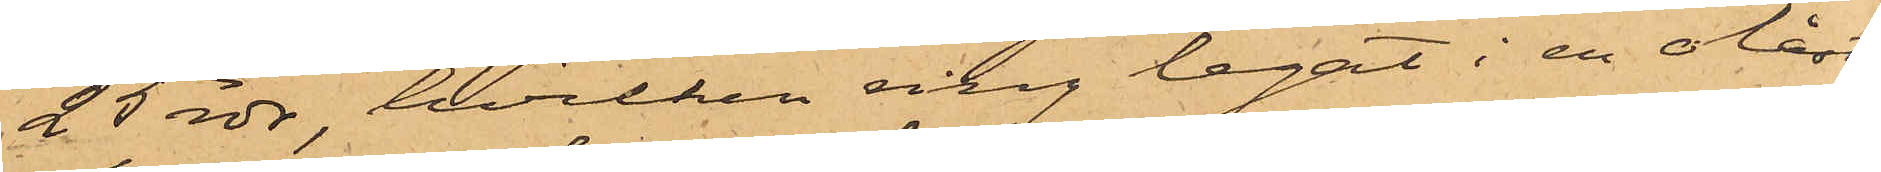25 rdr, hvilken ring legat i en olåst
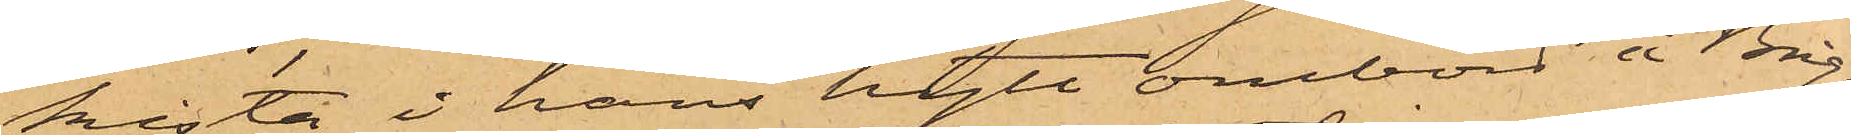kista i hans hytt ombord å Brig¬
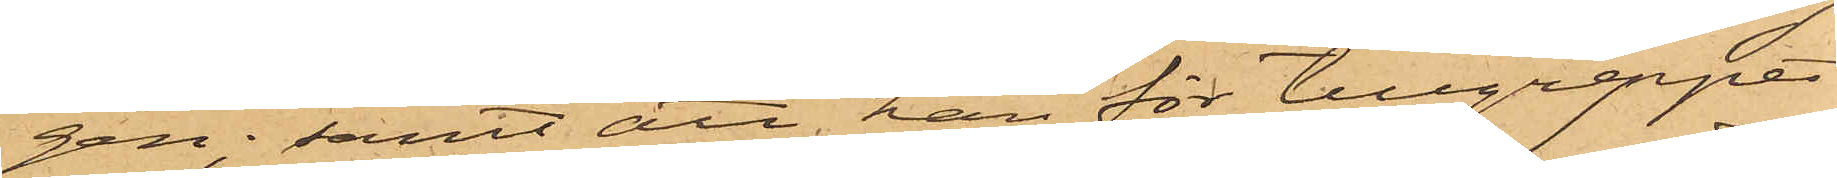gen; samt att han för tillgreppet
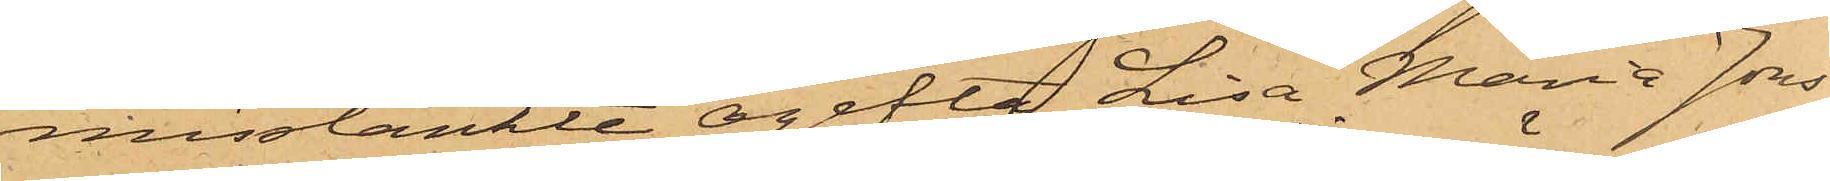misstänkte ogifta Lisa Maria Jons¬
